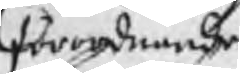förordnande
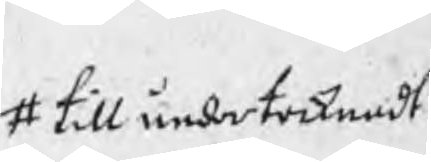# till undertecknadt
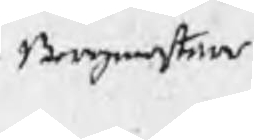Bergmestare
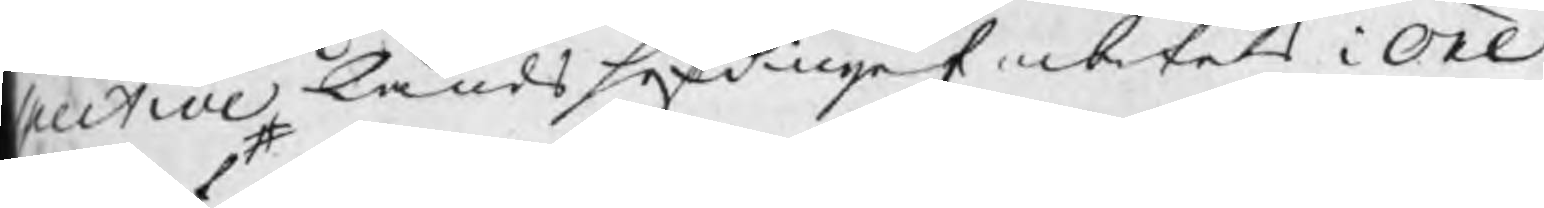spective Lands höfdinge Embetets i Öre¬
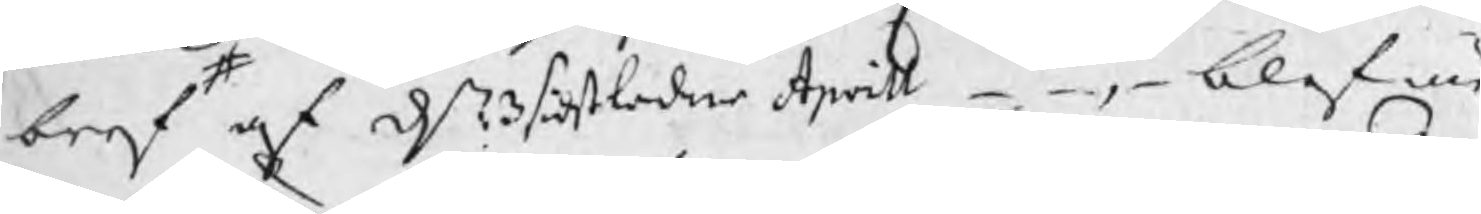bref af dn 3 sidtsledne Aprill _ _ , _ blef nu
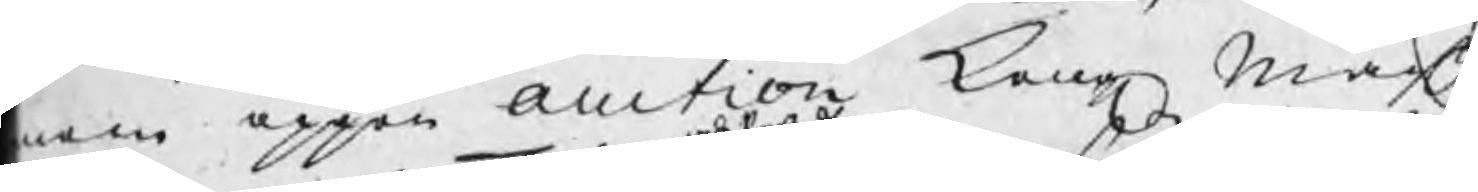nom öppen Auction Kong Majtz
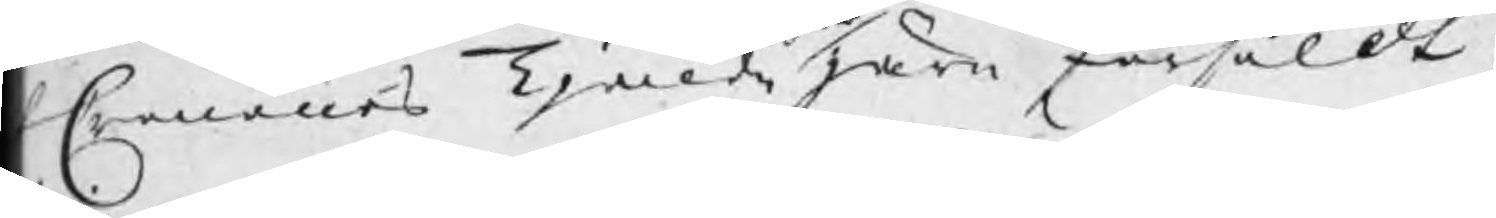h Cronones Tjonde järn försåldt,
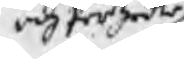och Perzedle
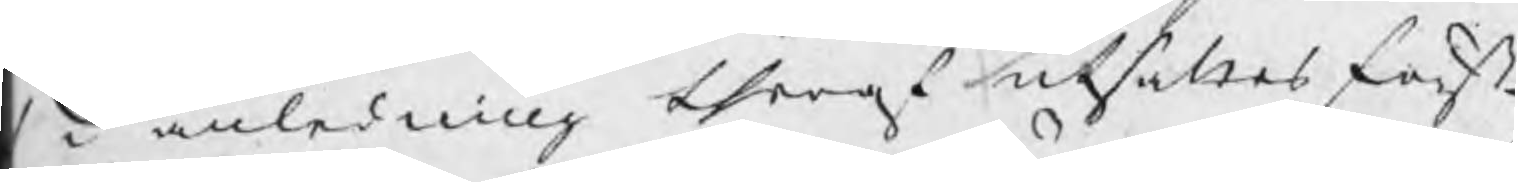i anledning theraf utsåldes först
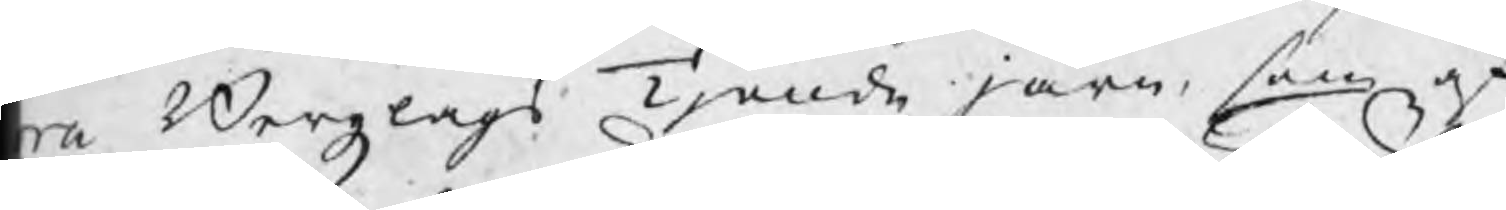ra Bergzlags Tjonde järn, som af
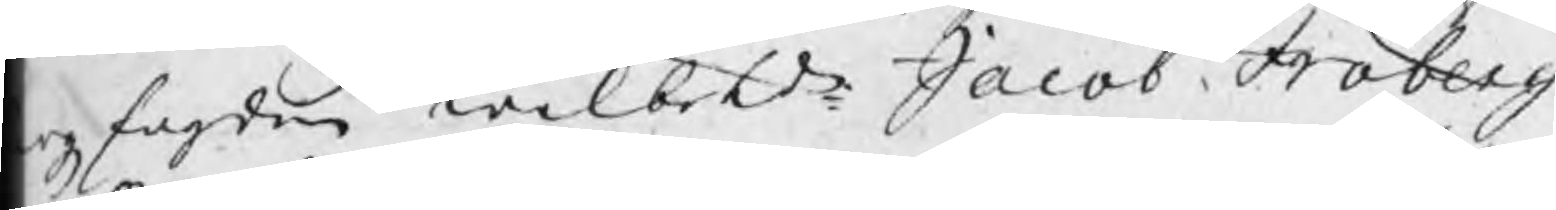rgzfogden wälbetde Jacob Fröberg
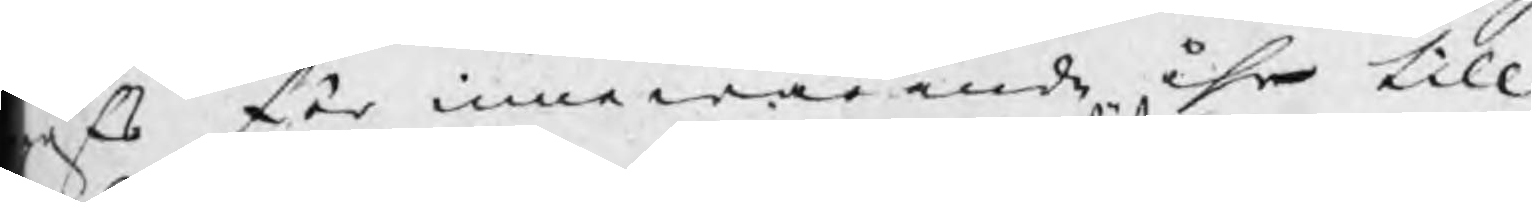öfs för innewarande åhr till
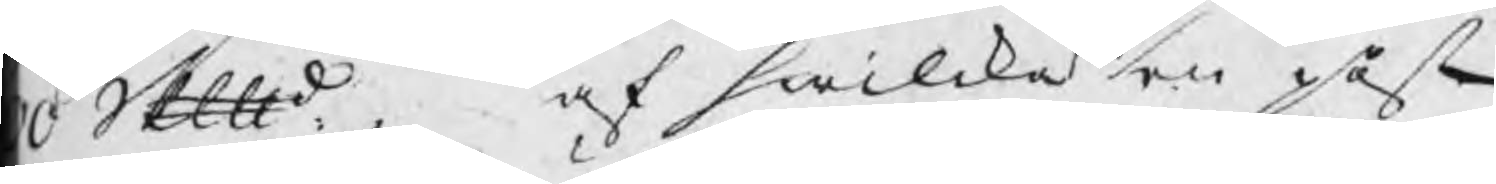0 Skpd.   af hwilka en påst
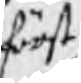först
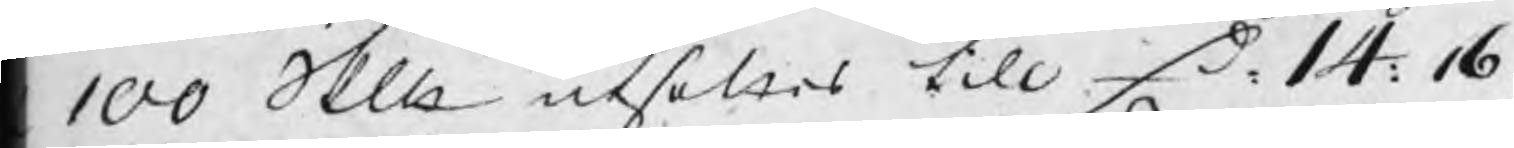100 Skp utsattes till D 14: 16.
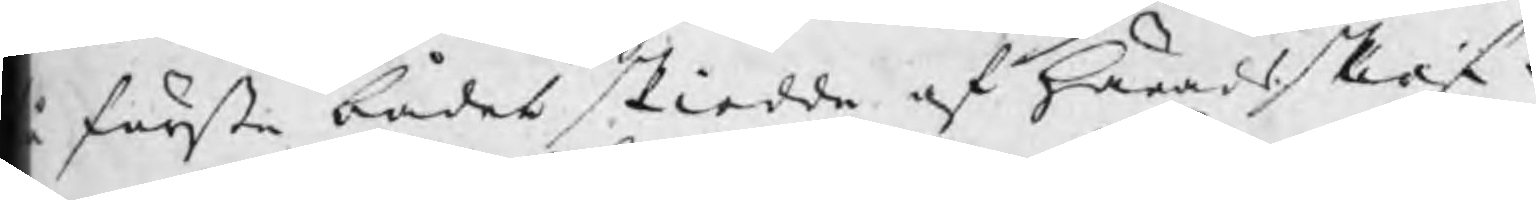å första bådet skiedde af Häradsskrif¬
